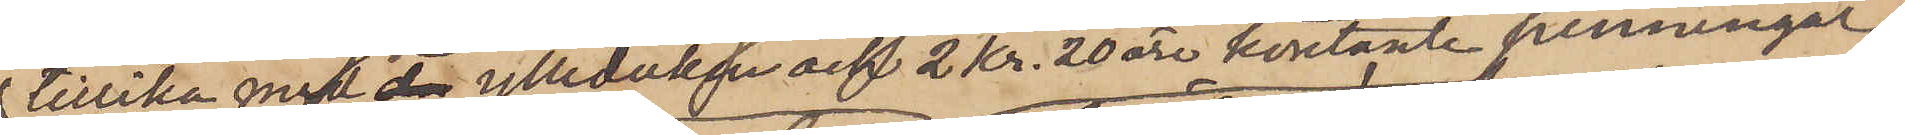tillika med ylleduken och 2 Kr. 20 öre kontante penningar,
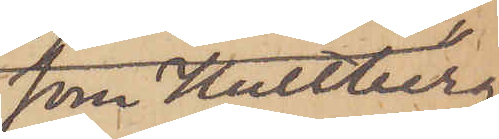som Hultberg
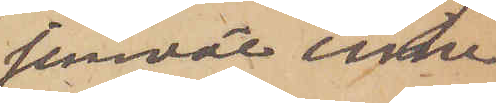jemväl inne¬
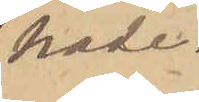hade.
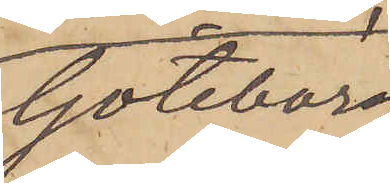Göteborg
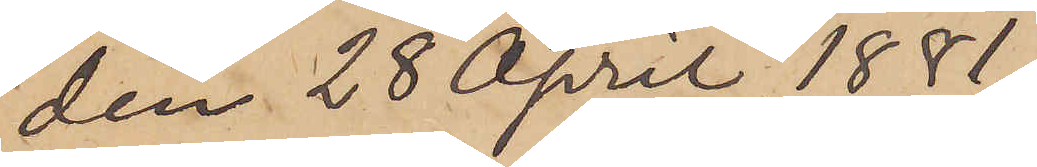den 28 April 1881.
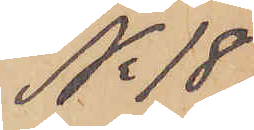No 18
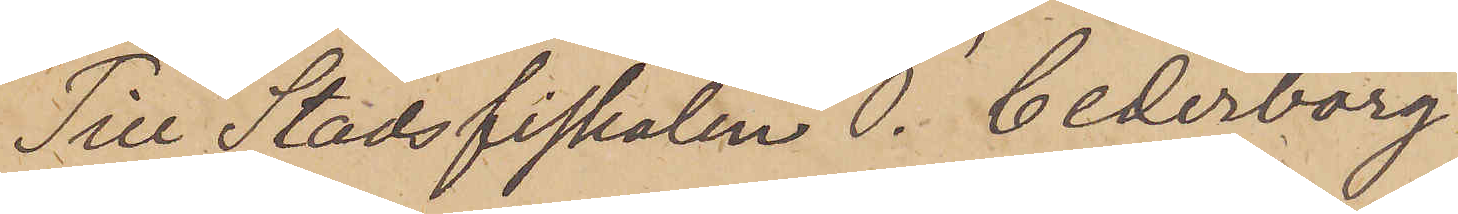Till Stadsfiskalen P. Cederborg
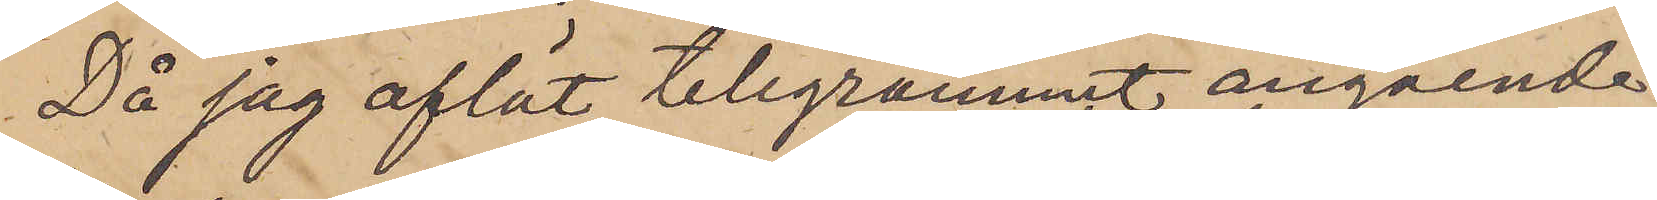Då jag aflät telegrammet angående
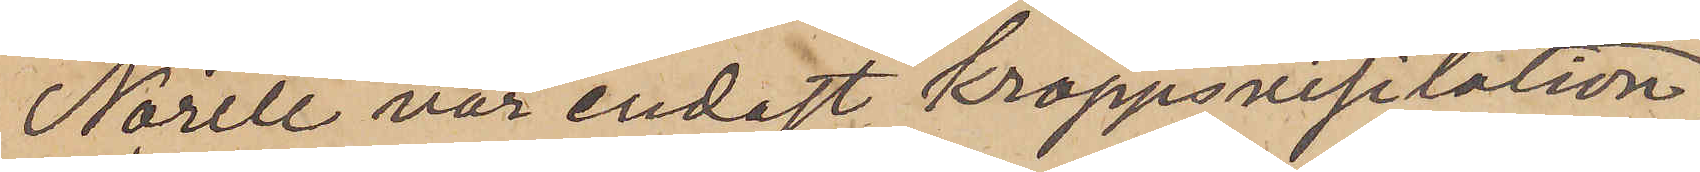Norell var endast kroppsvisitation
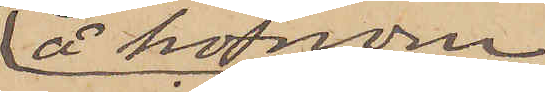å honom
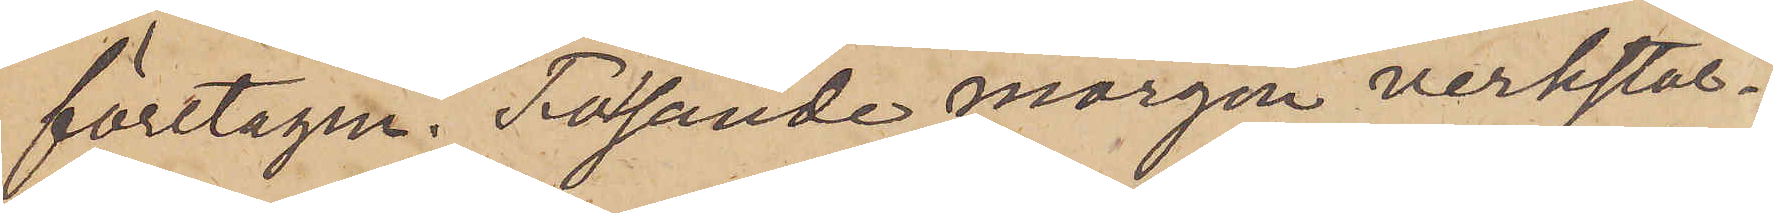företagen. Följande morgon verkstäl¬
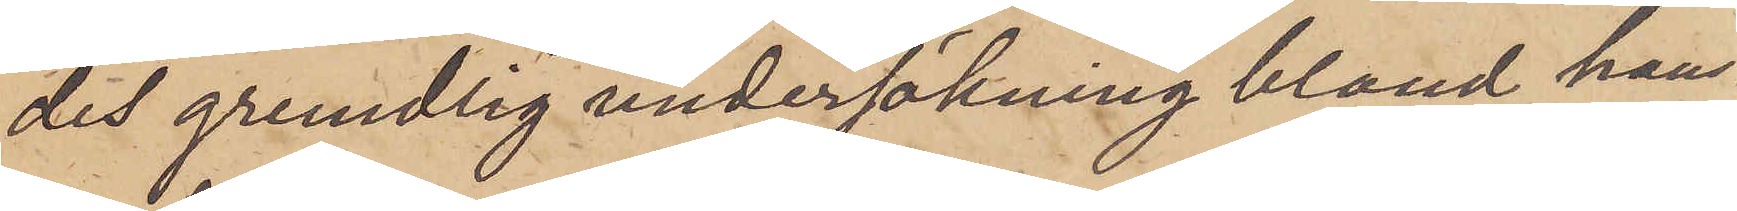des grundlig undersökning bland hans
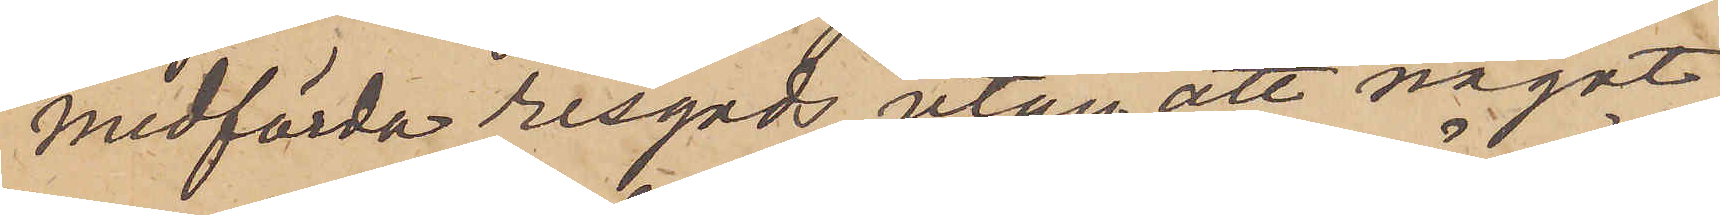medförda resgods, utan att något
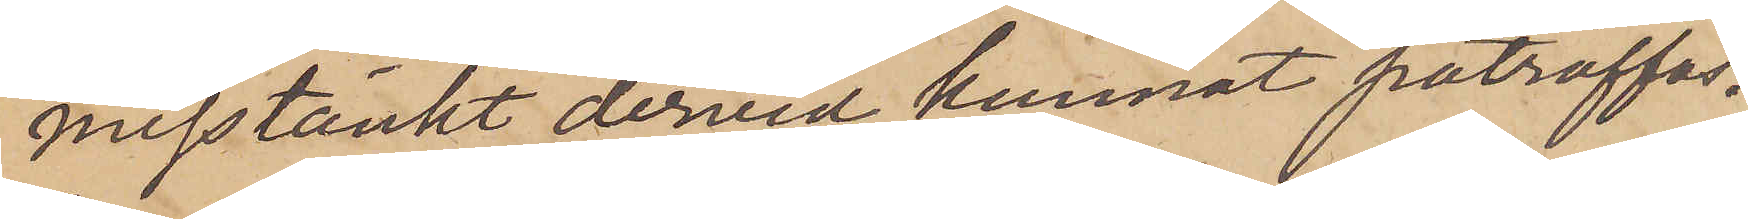misstänkt dervid kunnat påträffas.
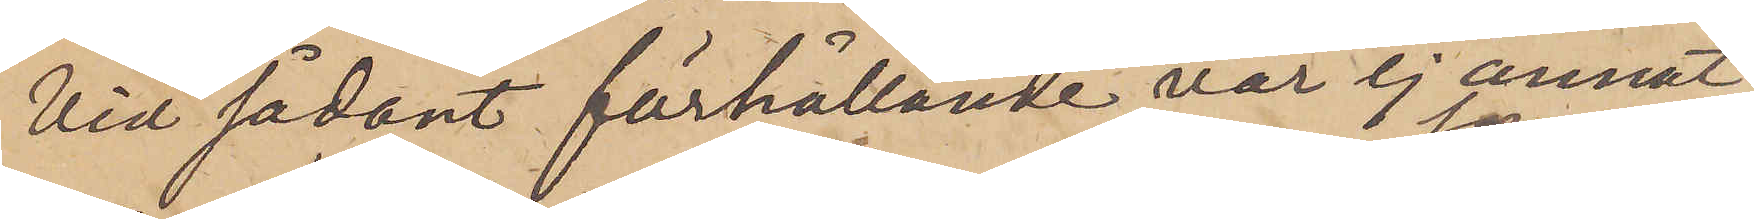Vid sådant förhållande var ej annat
